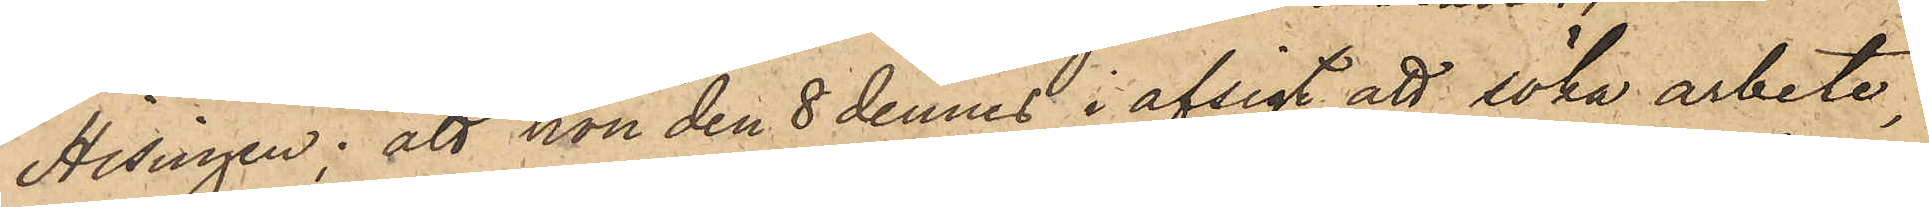Hisingen; att hon den 8 dennes i afsigt att söka arbete,
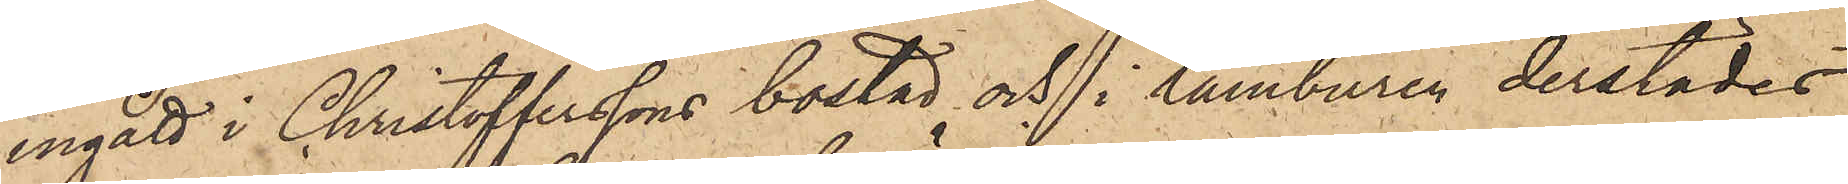ingått i Christofferssons bostad och i tamburen derstädes
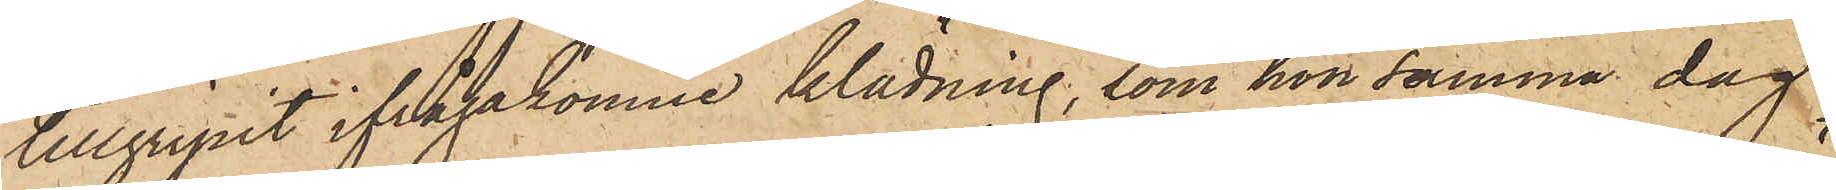tillgripit ifrågakomne klädning, som hon samma dag
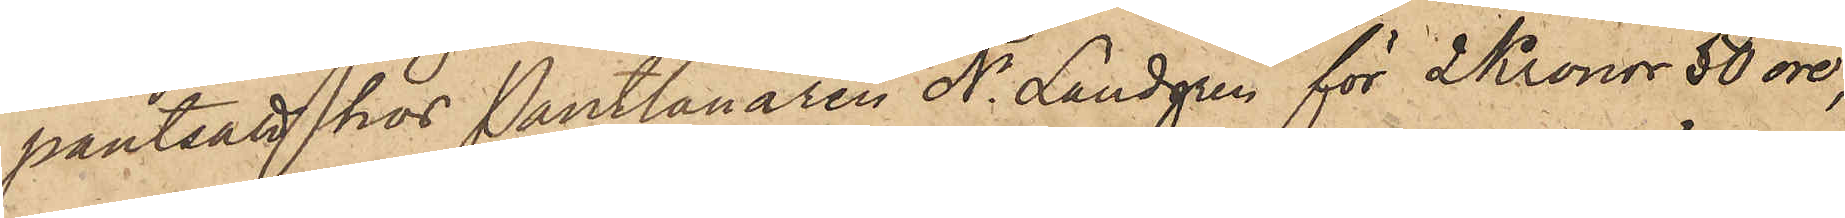pantsatt hos Pantlånaren N. Landgren för 2 Kronor 50 öre,
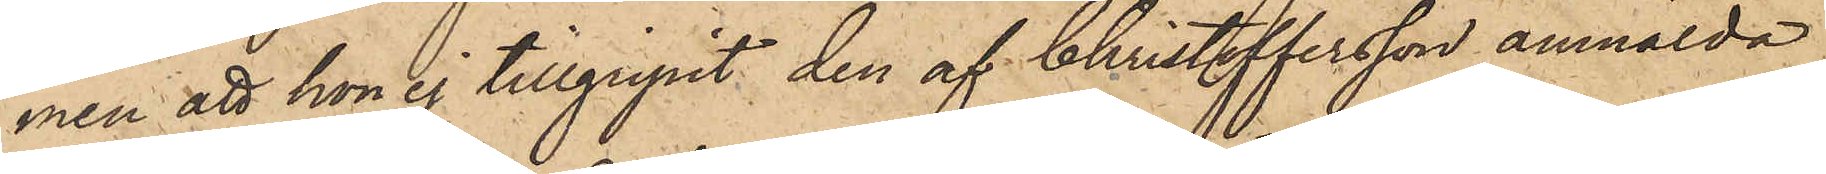men att hon ej tillgripit den af Christoffersson anmälda
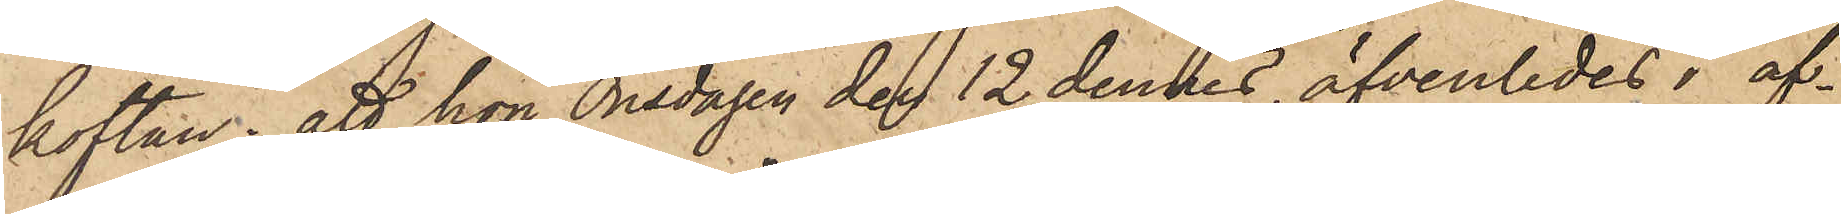koftan; att hon onsdagen den 12 dennes äfvenledes i af¬
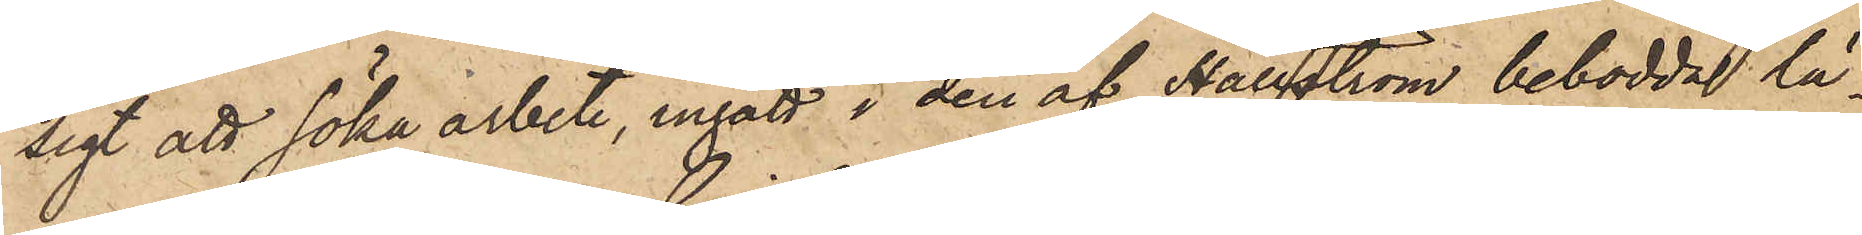sigt att söka arbete, ingått i den af Hällström bebodda lä¬
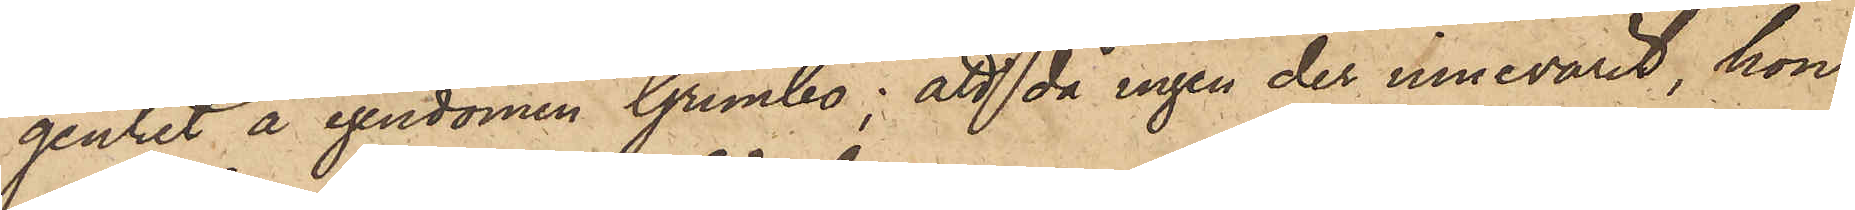genhet å egendomen Grimbo; att då ingen der innevarit, hon
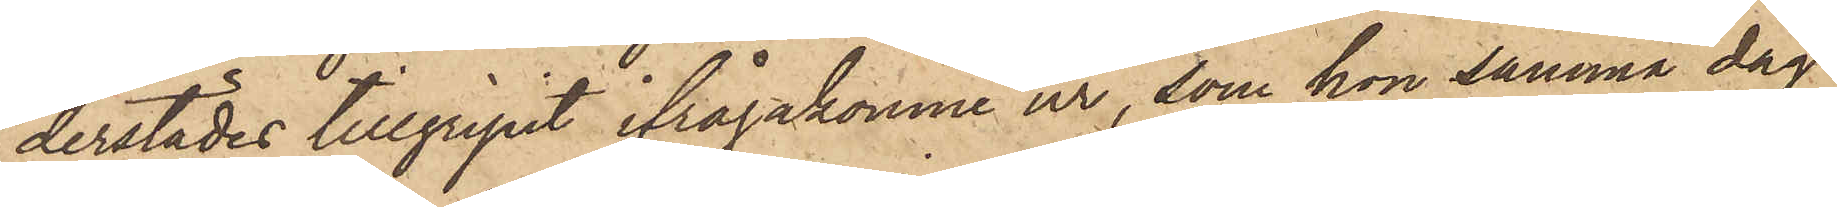derstädes tillgripit ifrågakomne ur, som hon samma dag
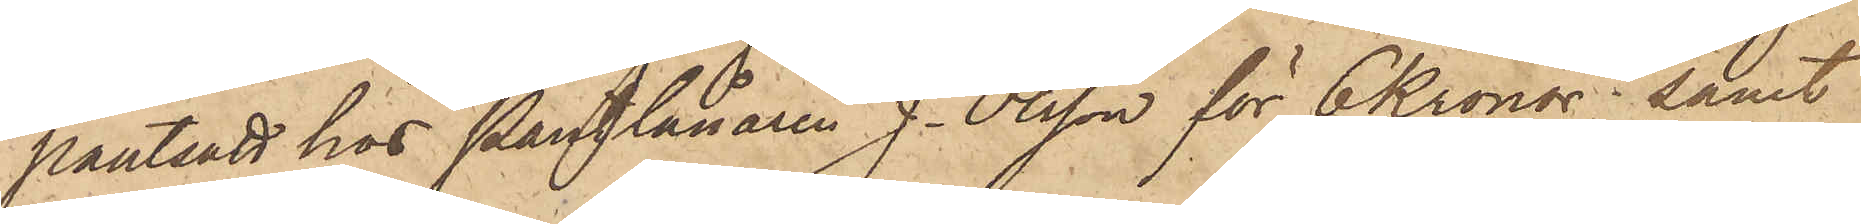pantsatt hos Pantlånaren J. Olsson för 6 Kronor; samt
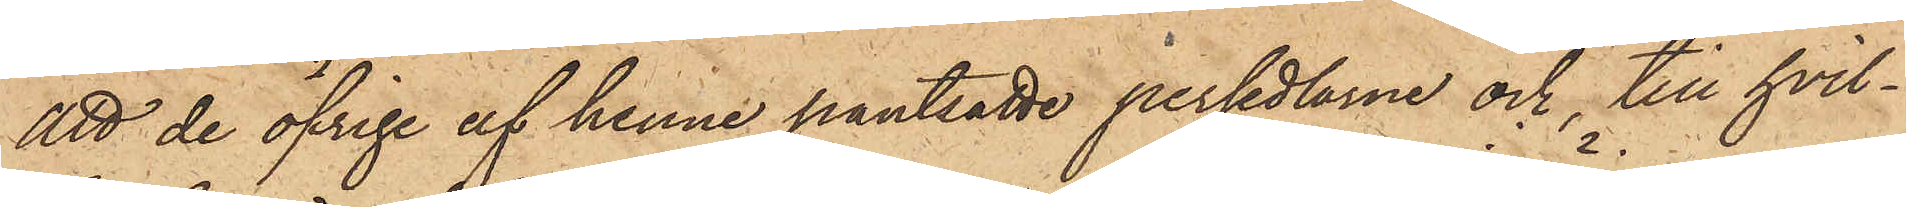att de öfrige af henne pantsatte persedlarne och till hvil¬
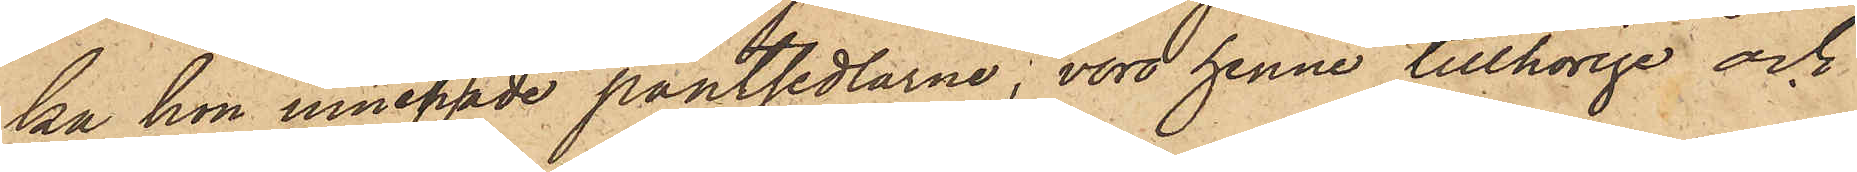ka hon innehade pantsedlarne, voro henne tillhörige och
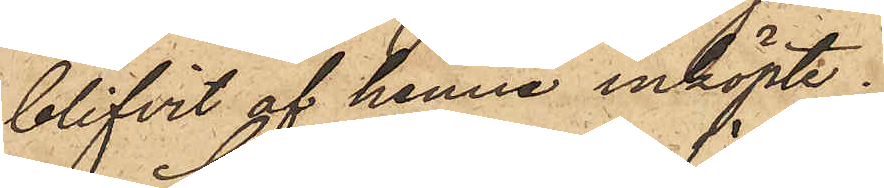blifvit af henne inköpte.
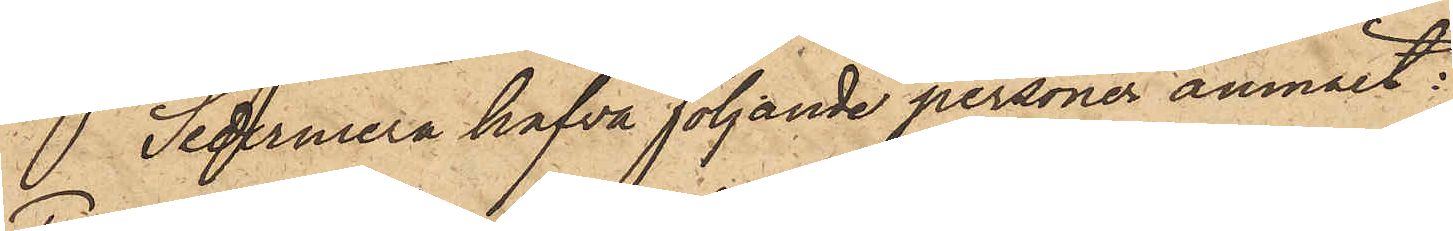 Sedermera hafva följande personer anmält:
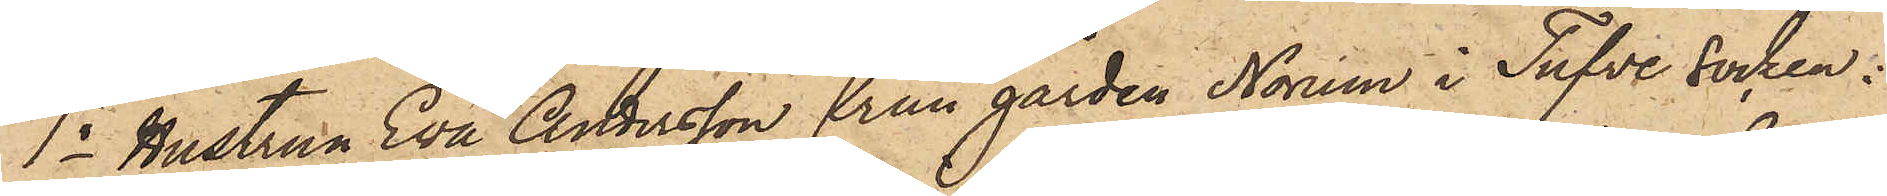1o Hustrun Eva Andersson från gården Norum i Tufve socken:
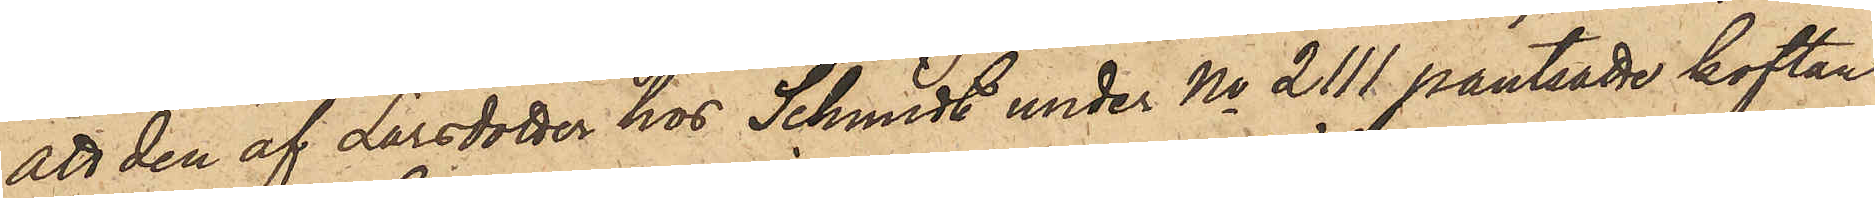att den af Larsdotter hos Schmidt under No 2111 pantsatte koftan
